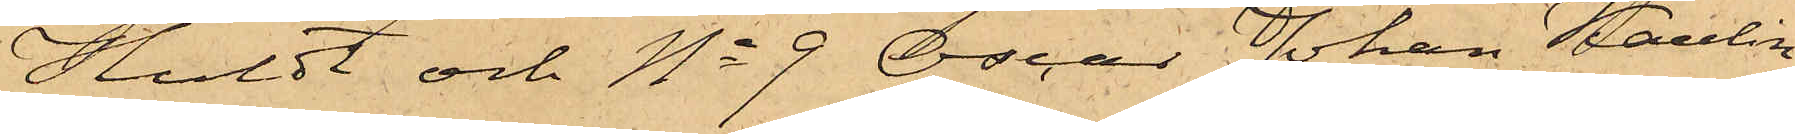Huldt och No 9 Oscar Johan Kaulin,
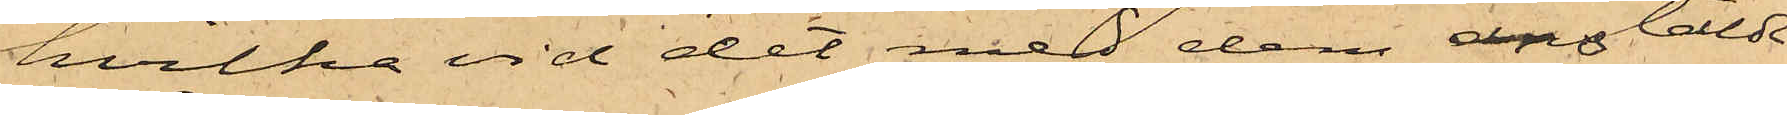hvilka vid det med dem anstäldt
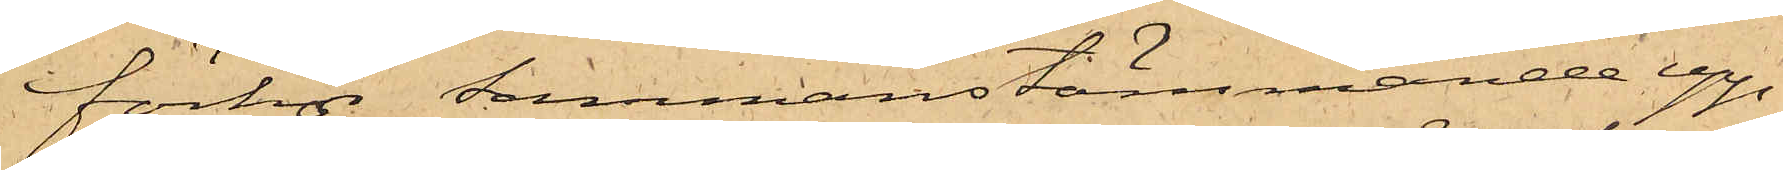förhör sammanstämmande upp¬
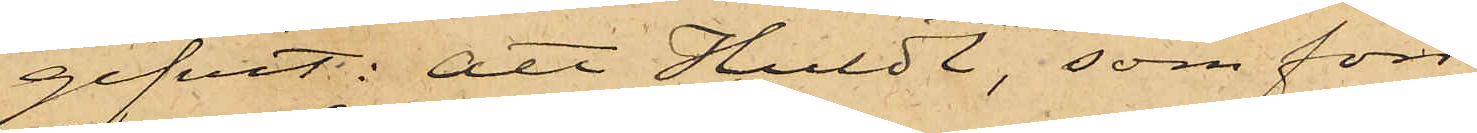gifvit: att Huldt, som förr
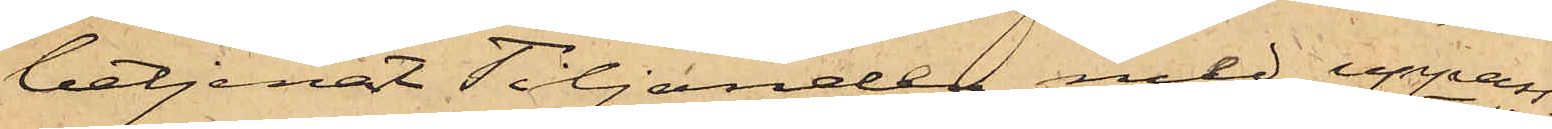betjenat Tiljander med uppass¬
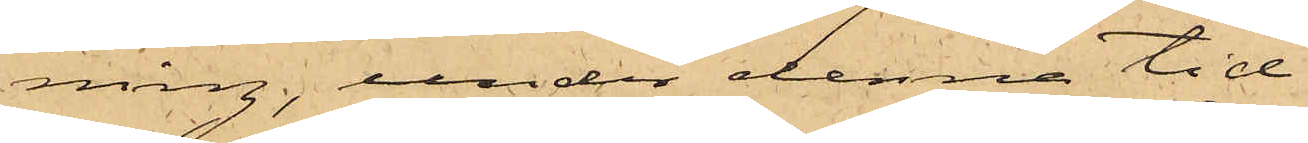ning, under denna tid
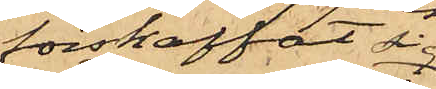förskaffat sig
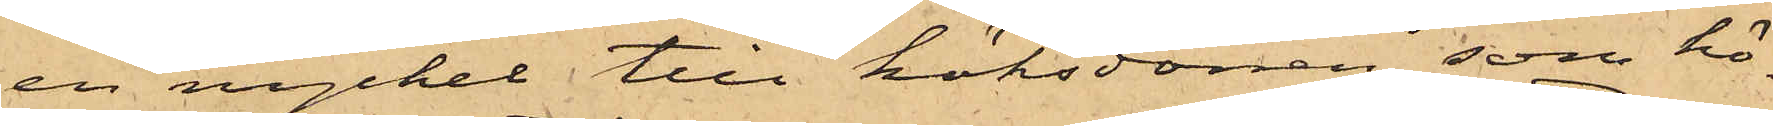en nyckel till köksdörren, som hö¬
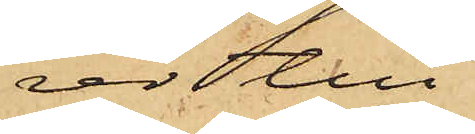rer till
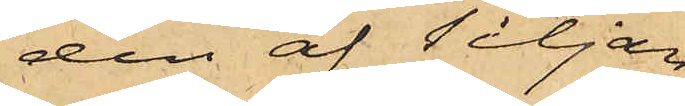den af Tiljan¬
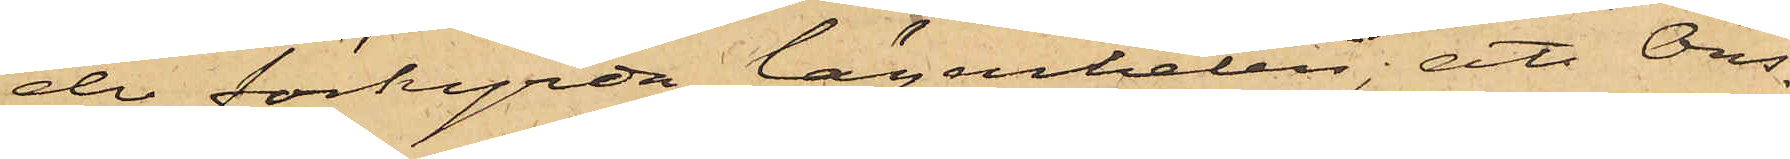der förhyrda lägenheten; att Ons¬
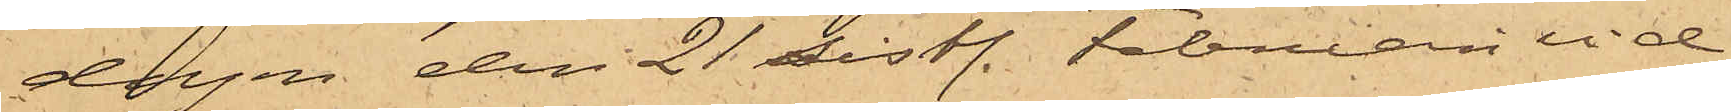dagen den 21 sistl. Februari vid
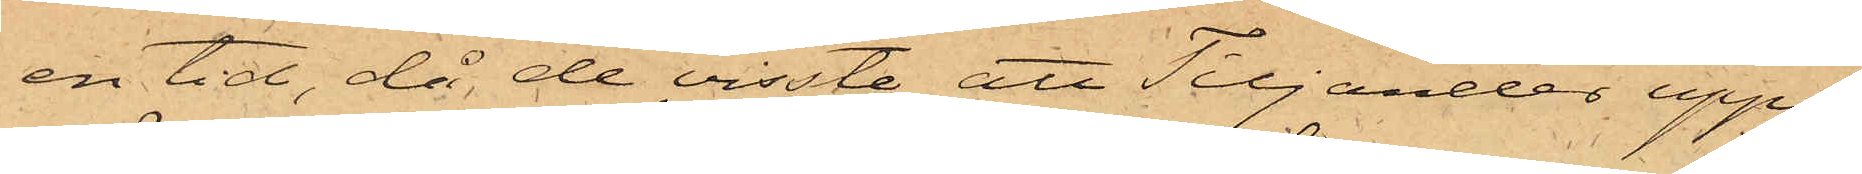en tid, då de visste att Tiljander uppe¬
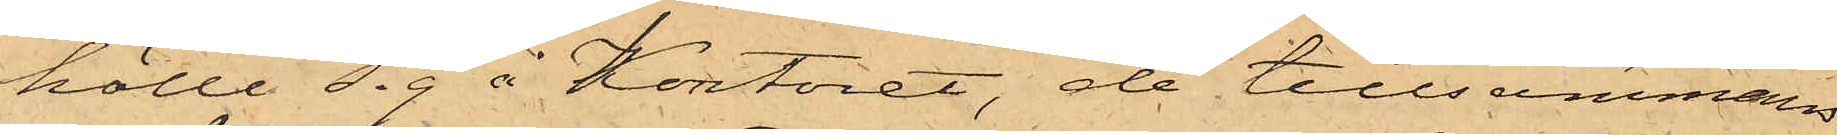hölle sig å Kontoret, de tillsammans
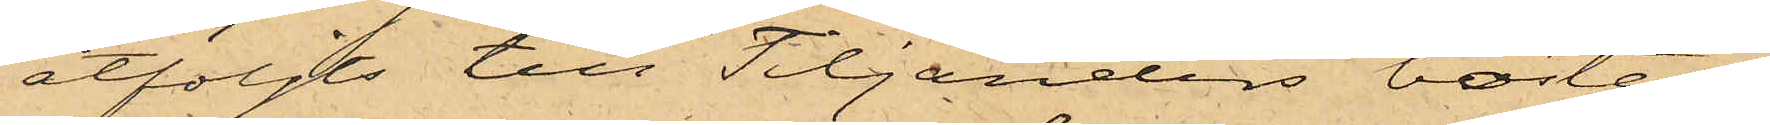åtföljts till Tiljanders bostad,
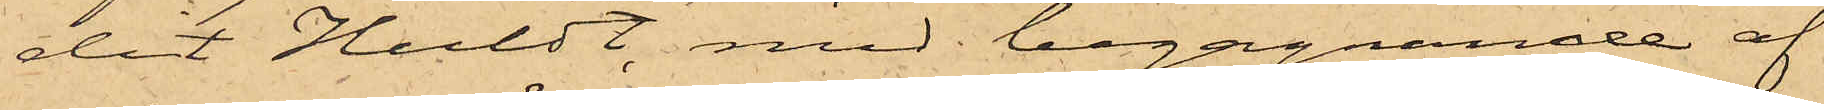dit Huldt, med begagnande af
